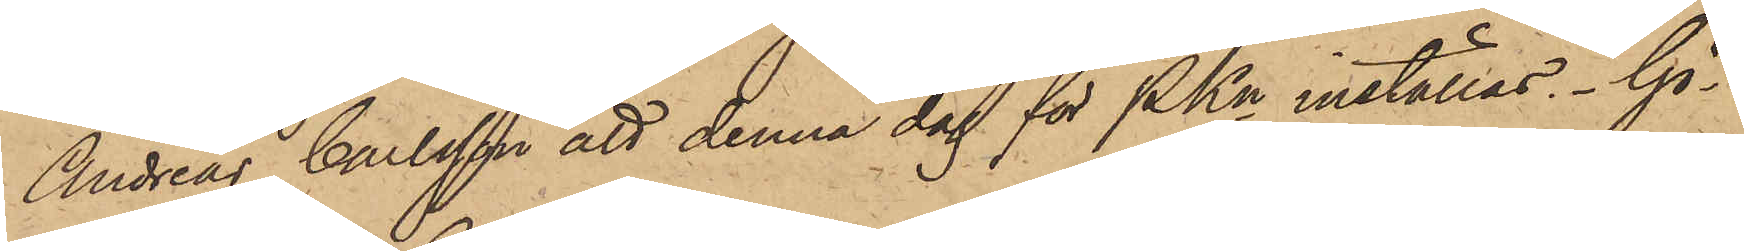Andreas Carlsson att denna dag för PKn inställas. Gö¬
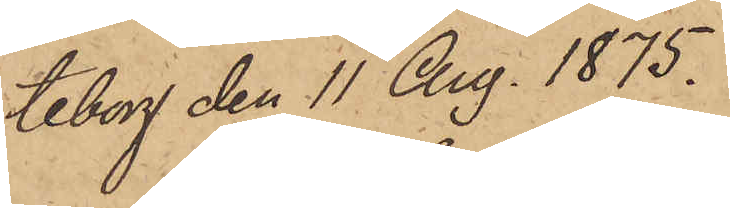teborg den 11 Aug. 1875.
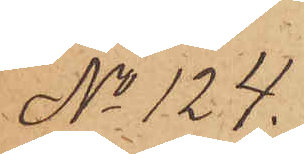No 124.
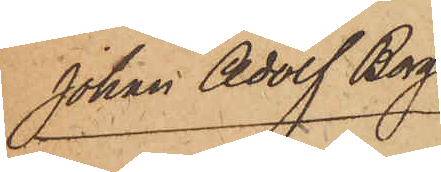Johan Adolf Berg.
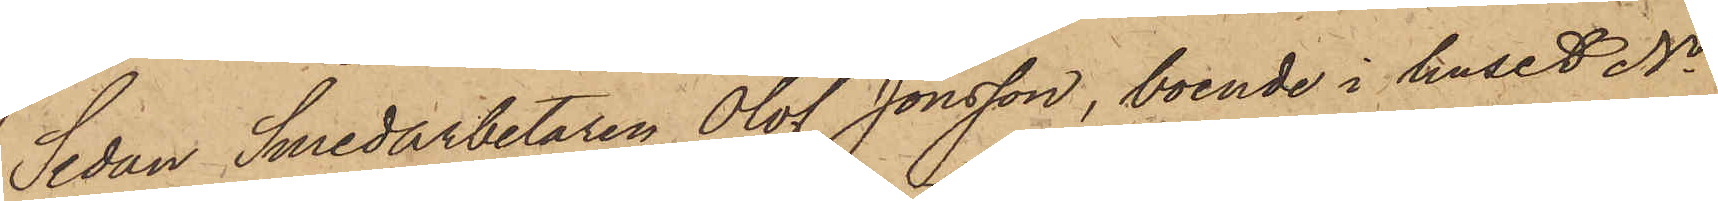Sedan Smedarbetaren Olof Jonsson, boende i huset No
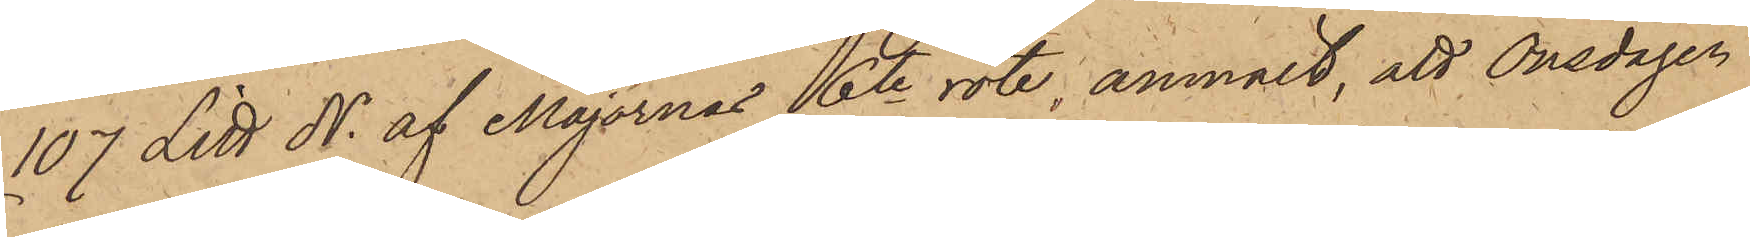107 Litt N. af Majornas 16te rote, anmält, att Onsdagen
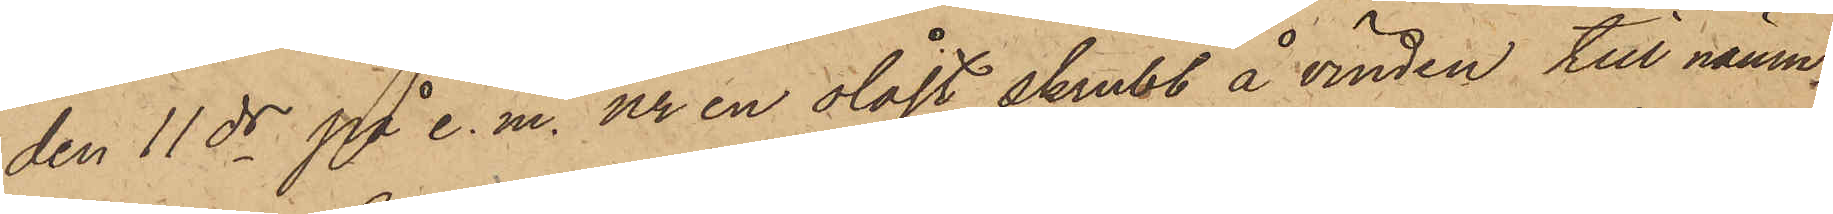den 11 ds på e. m. ur en olåst skrubb å vinden till nämn¬
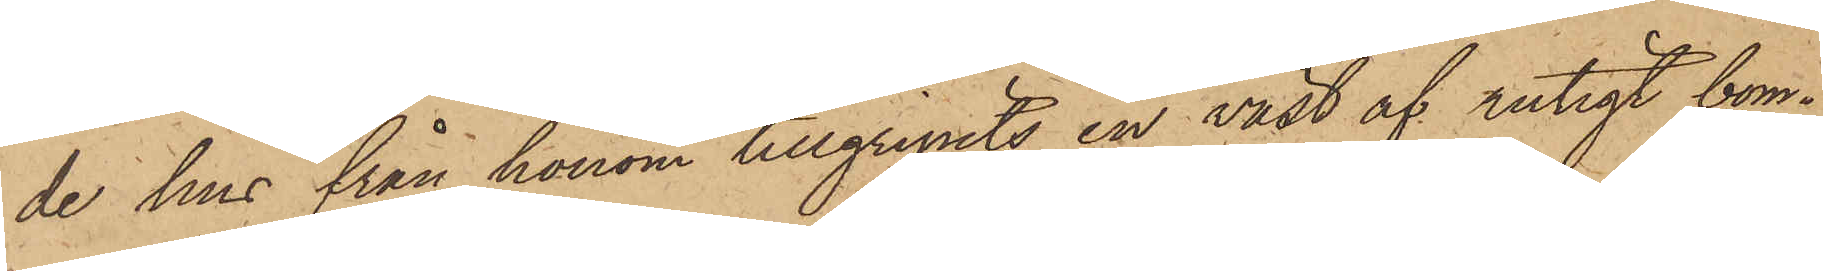de hus från honom tillgripits en väst af rutigt bom¬
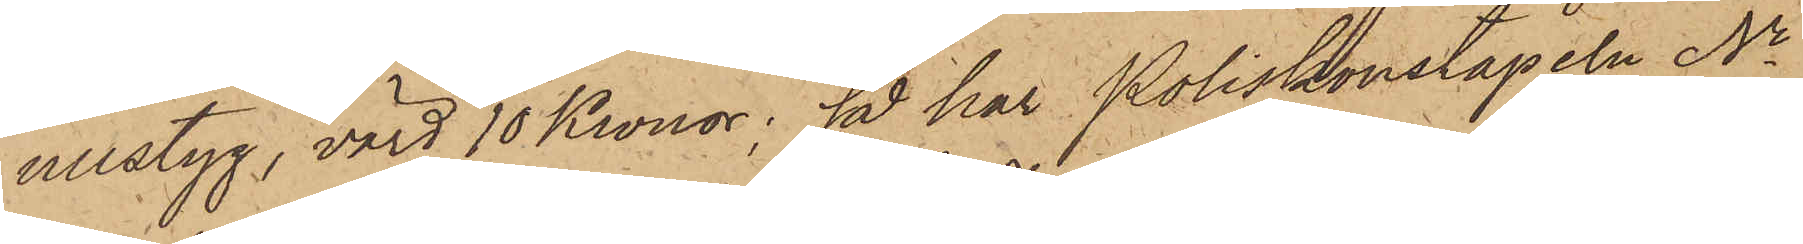ullstyg, värd 10 Kronor; så har Poliskonstapeln No
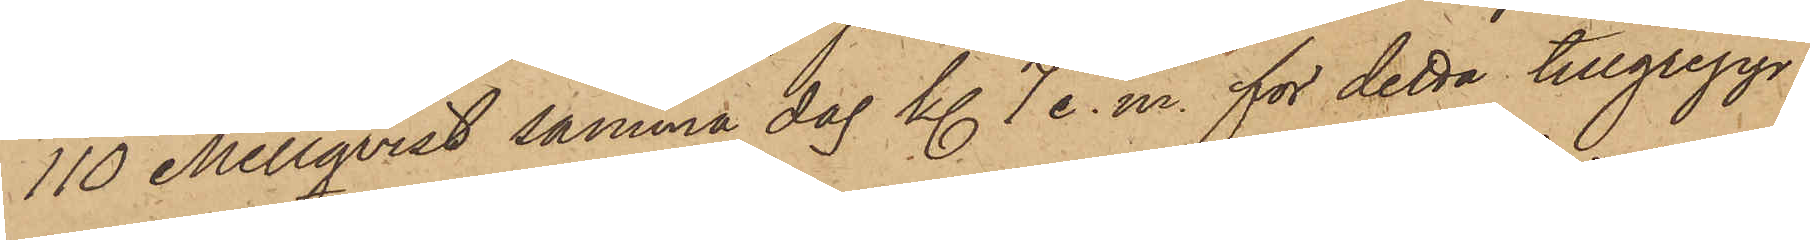110 Mellqvist samma dag kl. 7 e. m. för detta tillgrepp
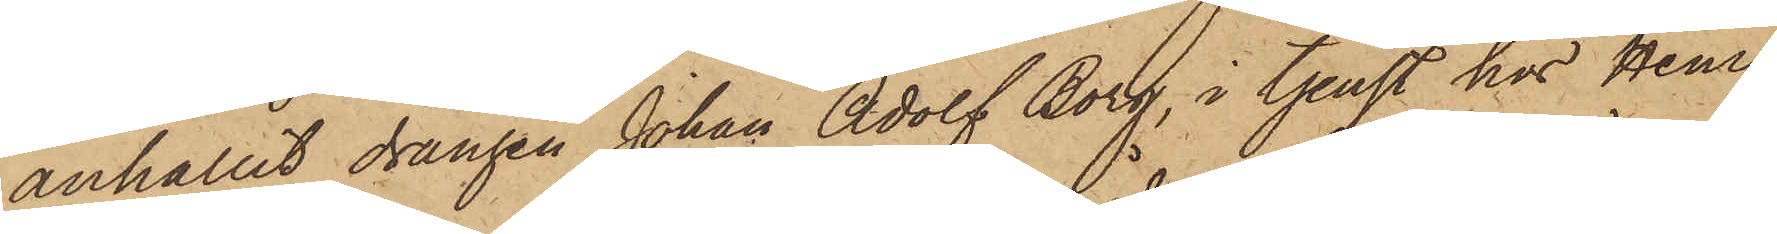anhållit drängen Johan Adolf Borg, i tjenst hos Hem¬
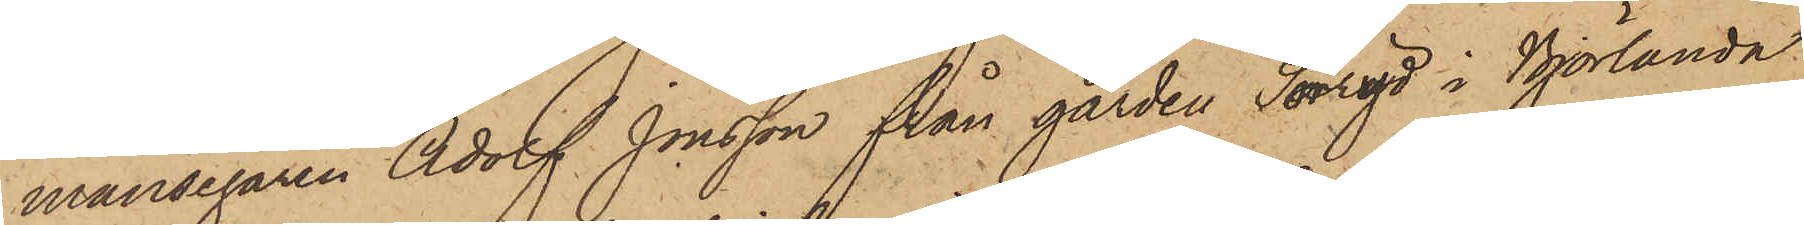mansegaren Adolf Jonsson från gården Sorryd i Björlanda
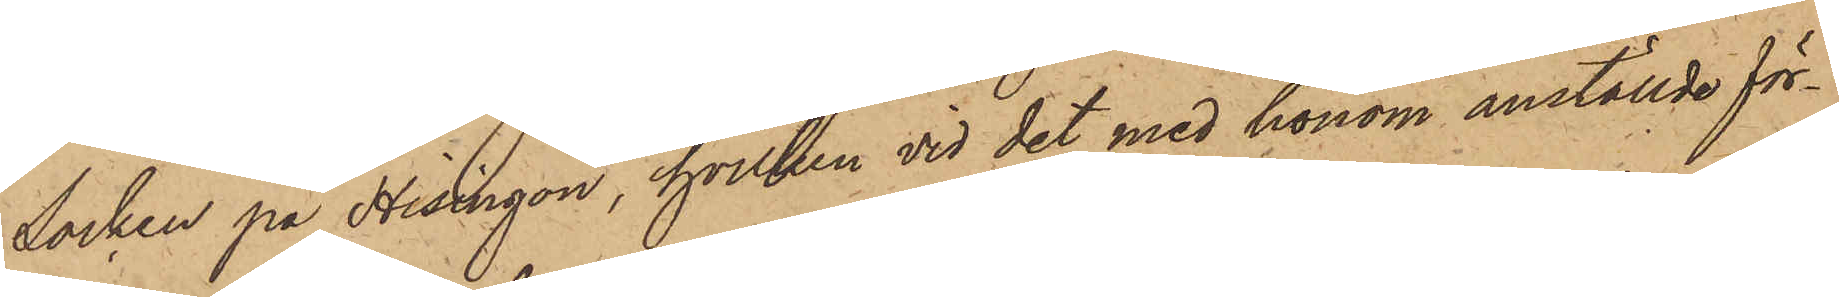Socken på Hisingön, hvilken vid det med honom anställde för¬
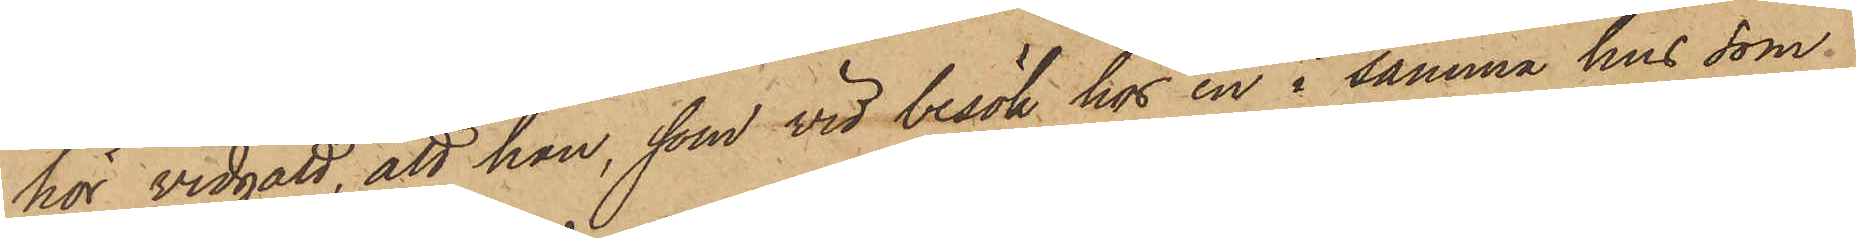hör vidgått, att han, som vid besök hos en i samma hus som
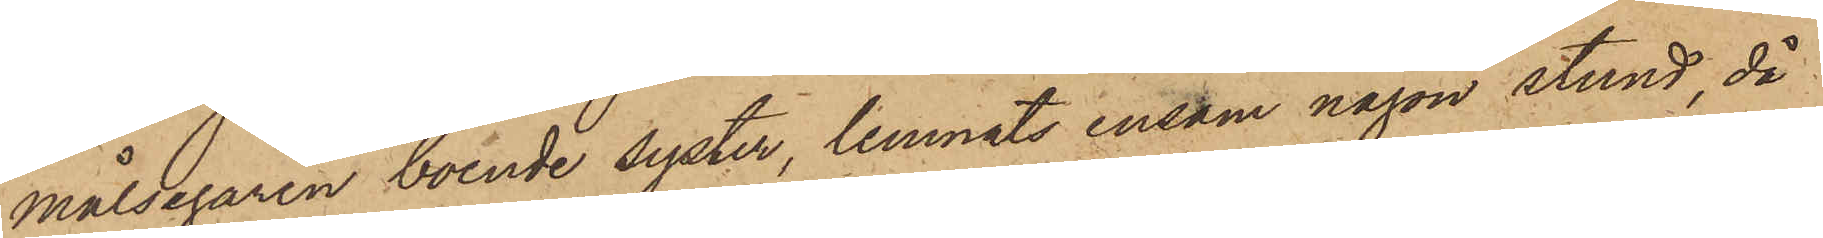målsegaren boende syster, lemnats ensam någon stund, då
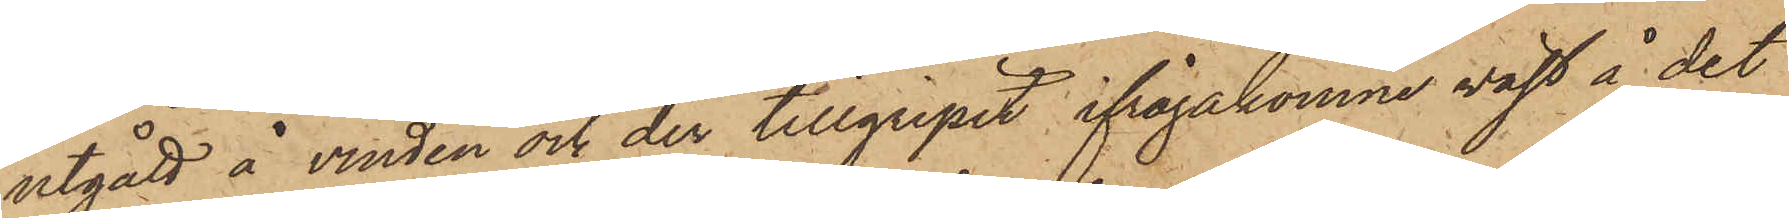utgått å vinden och der tillgripit ifrågakomne väst å det
